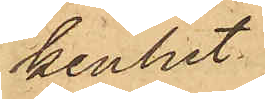kenhet
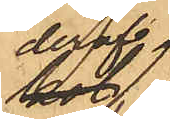deraf,
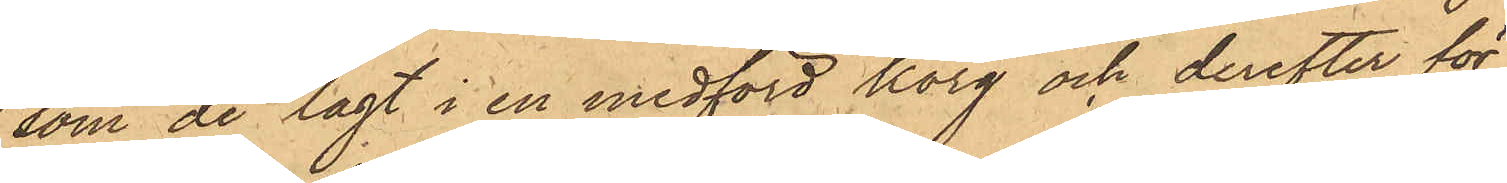som de lagt i en medförd korg och derefter för
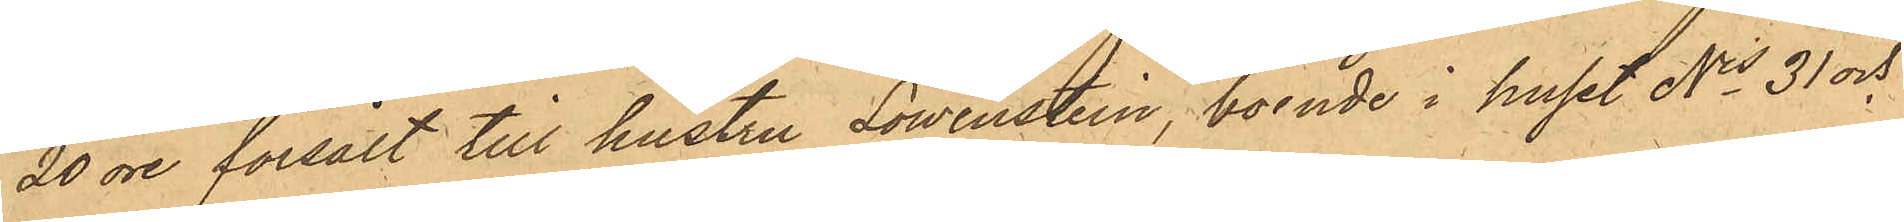20 öre försålt till hustru Löwenstein, boende i huset Nis 31 och
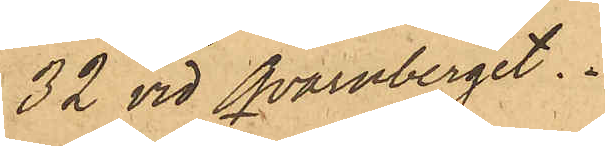32 vid Qvarnberget.
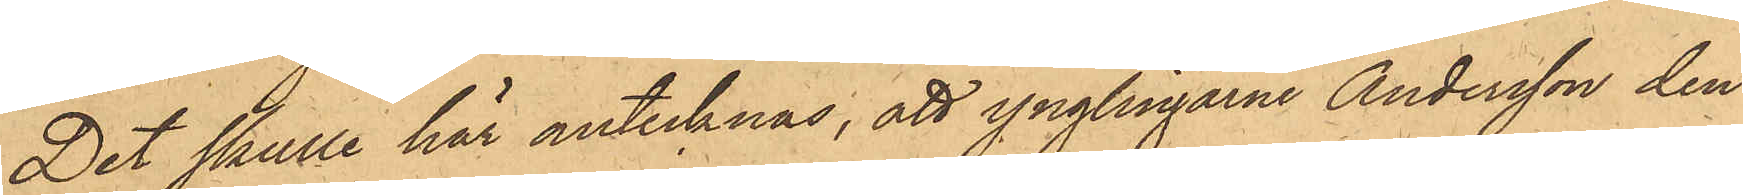Det skulle här antecknas, att ynglingarne Andersson den
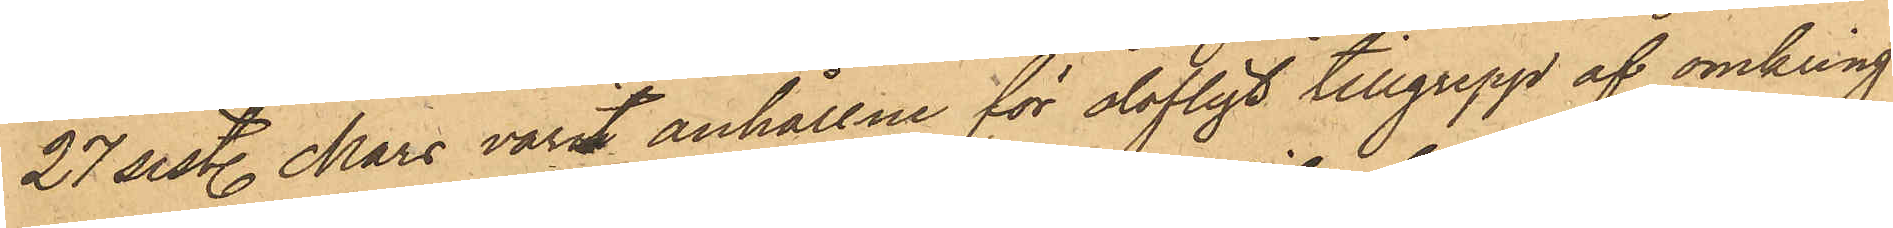27 sist. Mars varit anhållne för olofligt tillgrepp af omkring
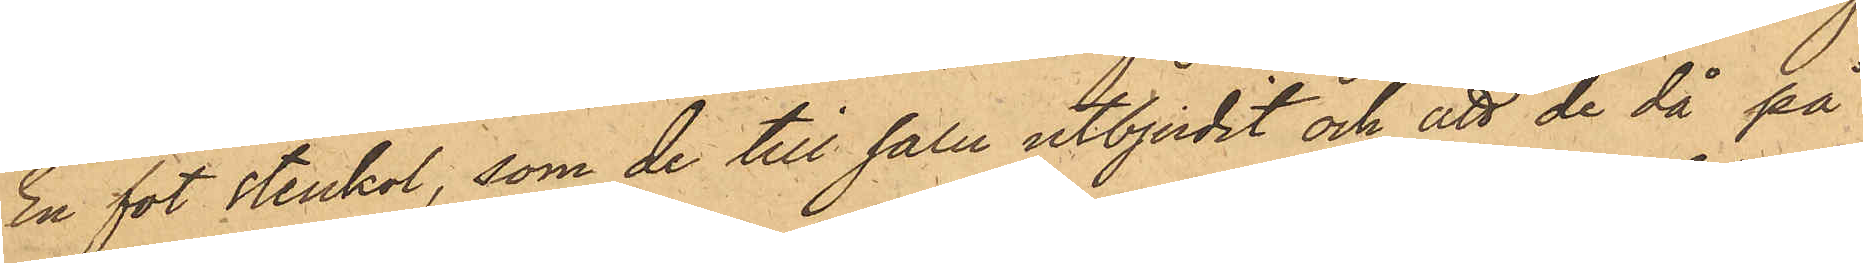En fot stenkol, som de till salu utbjudit och att de då på
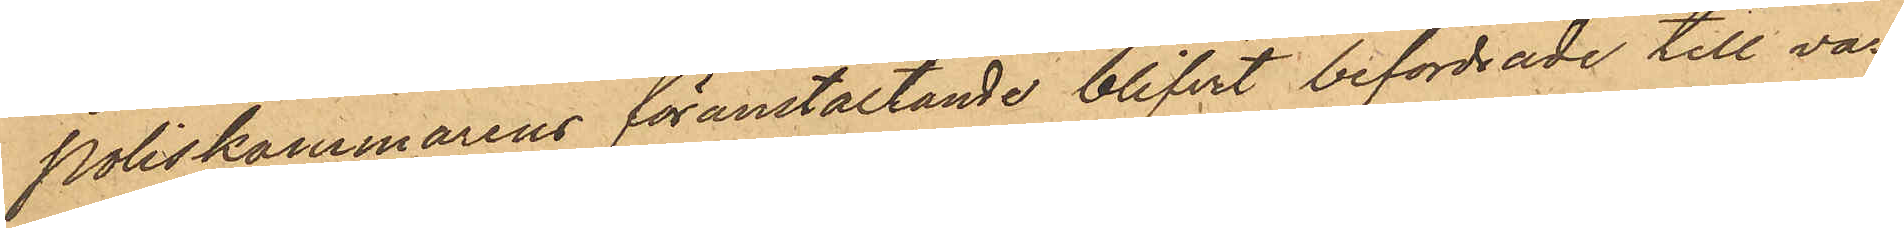Poliskammarens föranstaltande blifvit befordrade till var¬
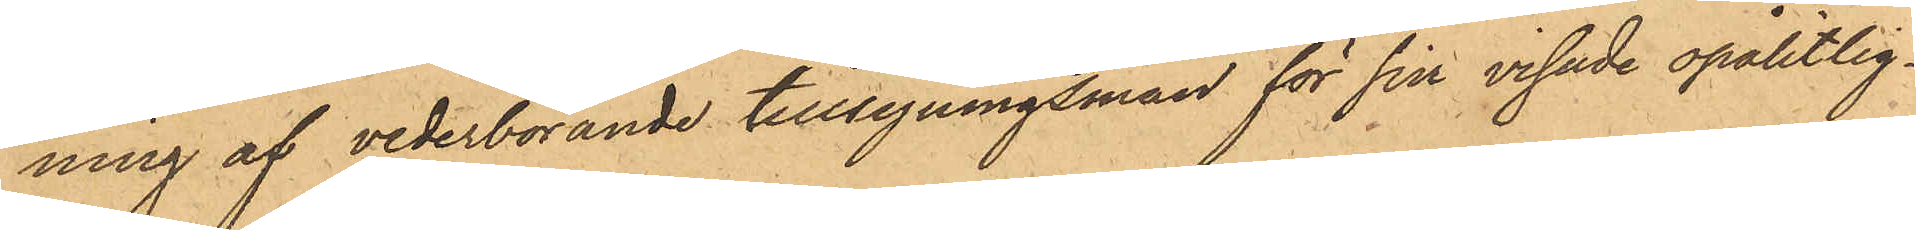ning af vederbörande tillsyningsman för sin visade opålitlig¬
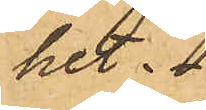het. 
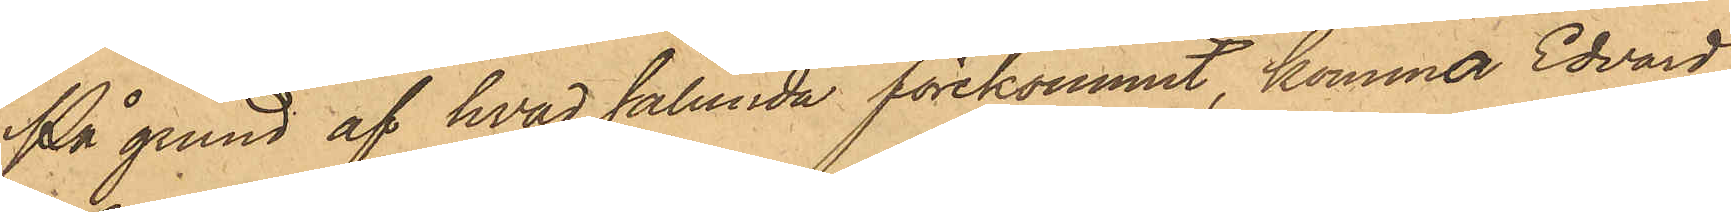På grund af hvad sålunda förekommit, kommer Edvard
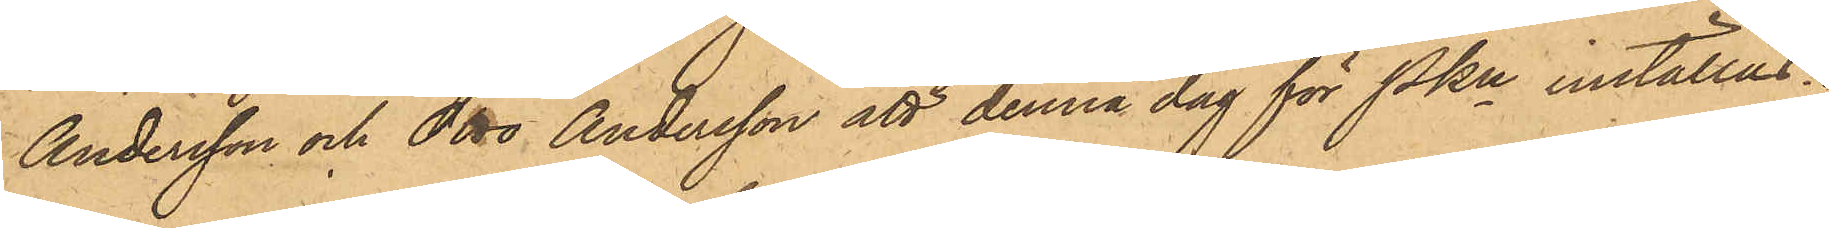Andersson och Otto Andersson att denna dag för Pkn inställas.
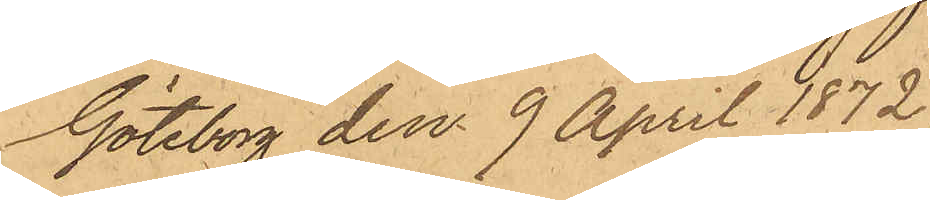Göteborg den 9 April 1872.
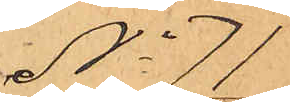No 71
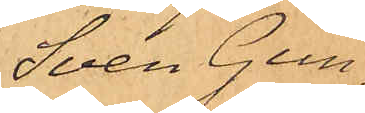Sven Gun¬
